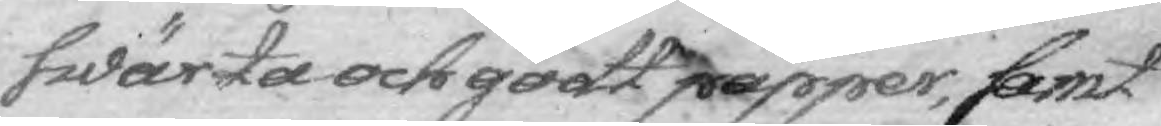swärta och godt papper, samt
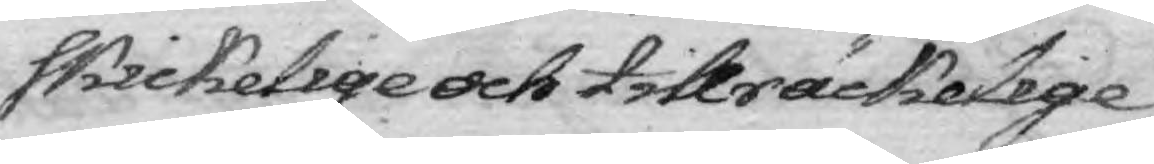skickelige och tillräckelige
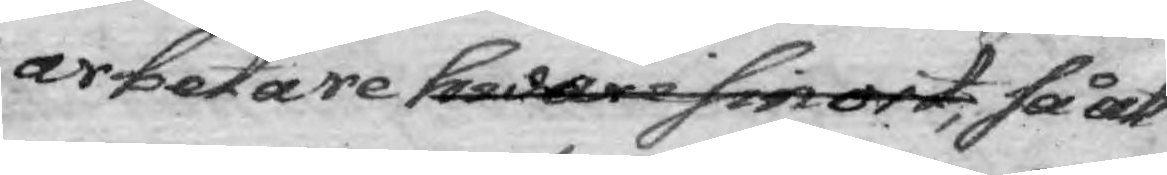arbetare hwar i sin ort, så att
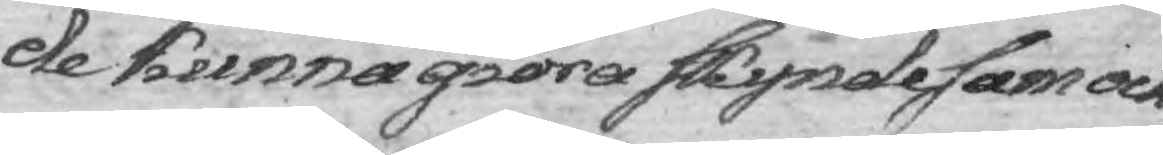de kunna giöra skyndesam och
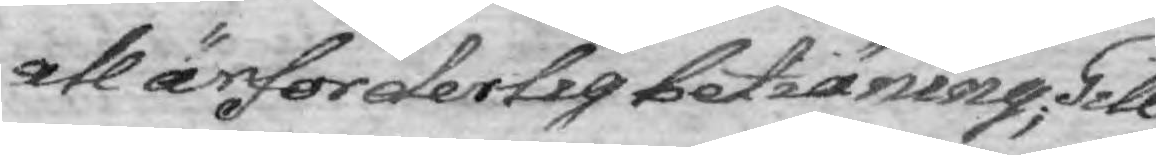all ärfordelig betiäning; Till
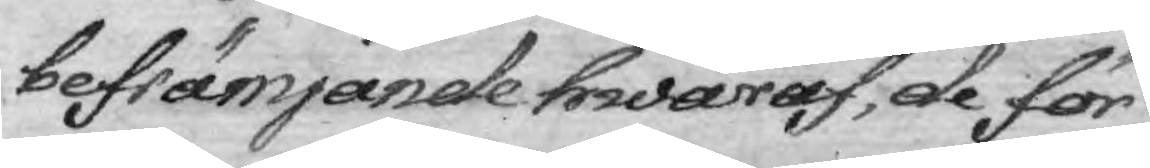befrämjande hwaraf, de för
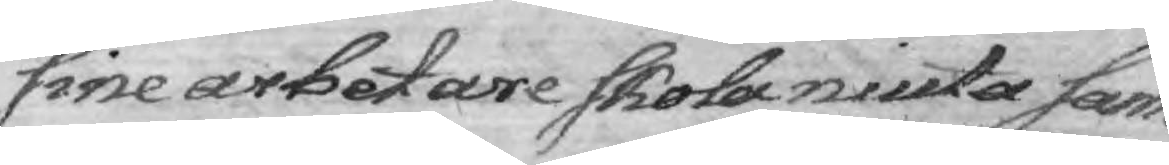sine arbetare skola niuta sam¬
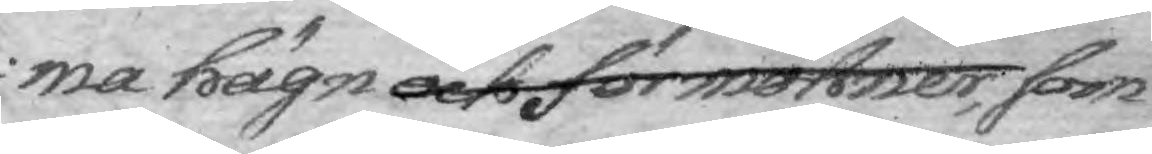ma hägn och förmohner, som
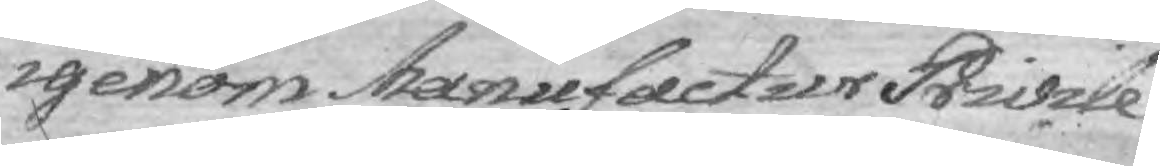igenom Manufactur Privile¬
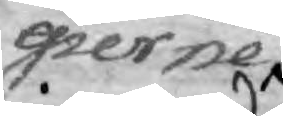gierne
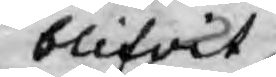blifvit
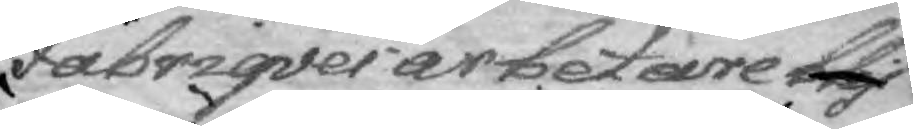Fabriqves arbetare blif¬
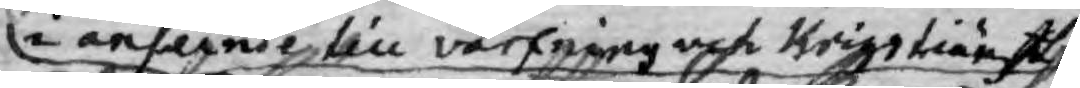i anseende till värfning och Krigstiänst
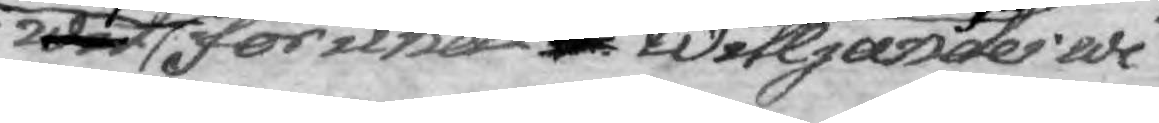wit förunatt Willjandes wi
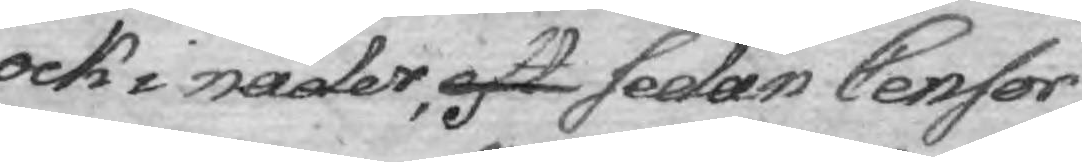ock i nåder, eft sedan Censor
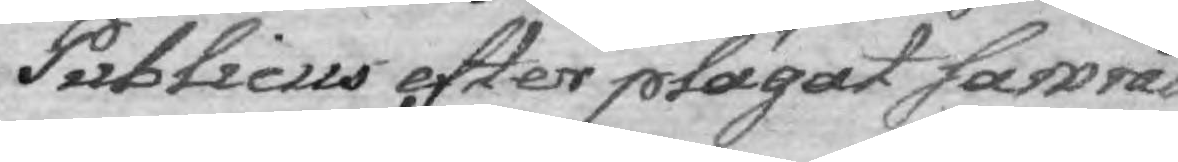Publicus efter plägat samråd
